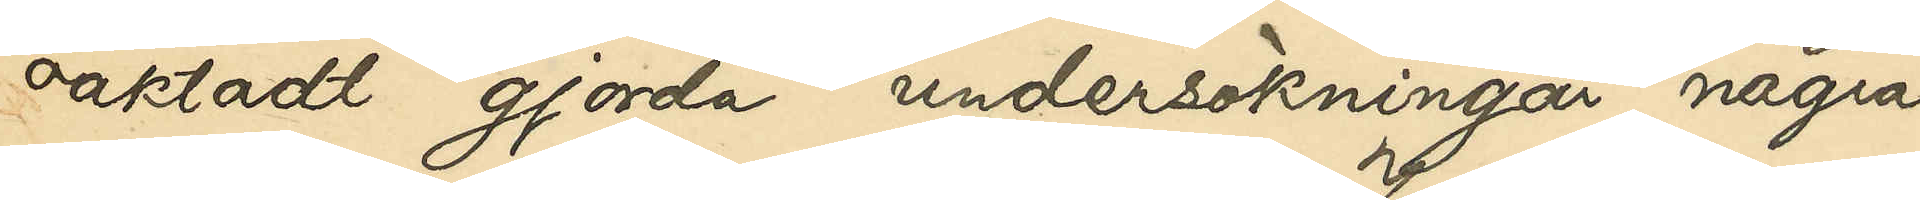oaktadt gjorda undersökningar några
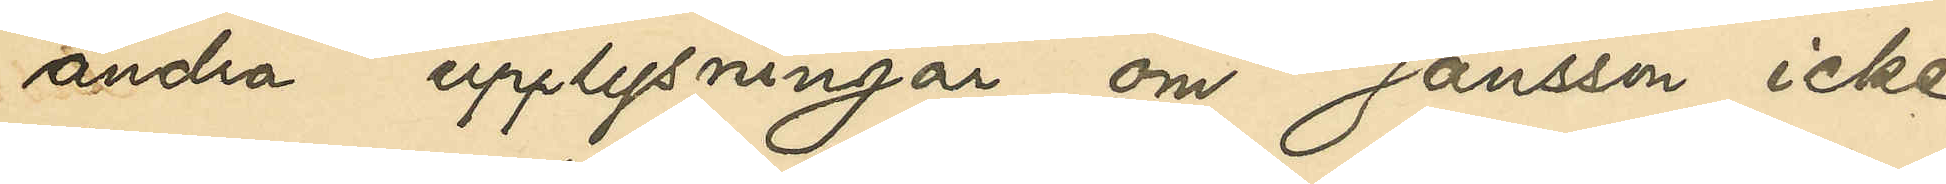andra upplysningar om Jonsson icke
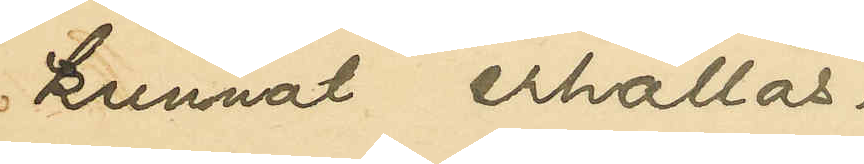kunnat erhållas.
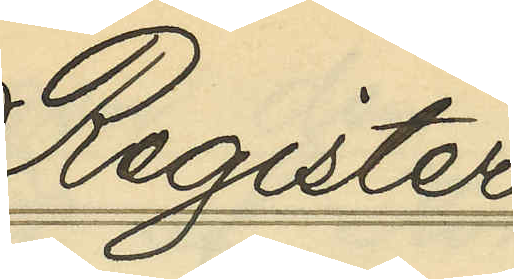Register
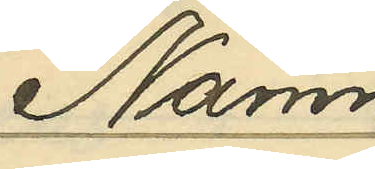Namn
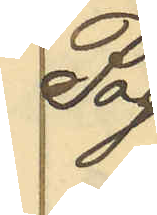Pag.
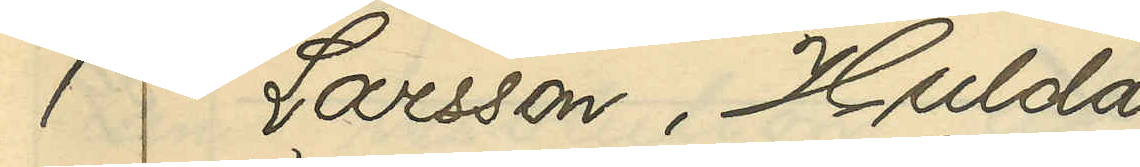1 Larsson, Hulda
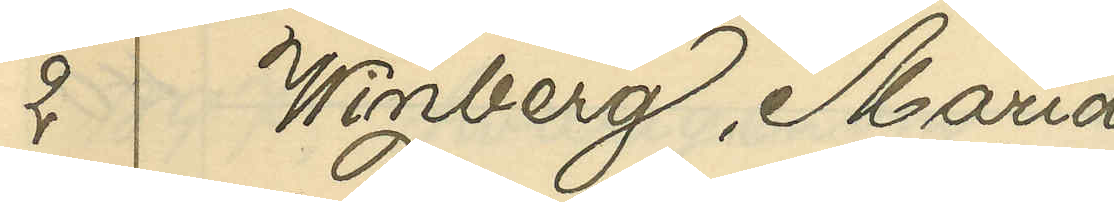2 Winberg, Maria
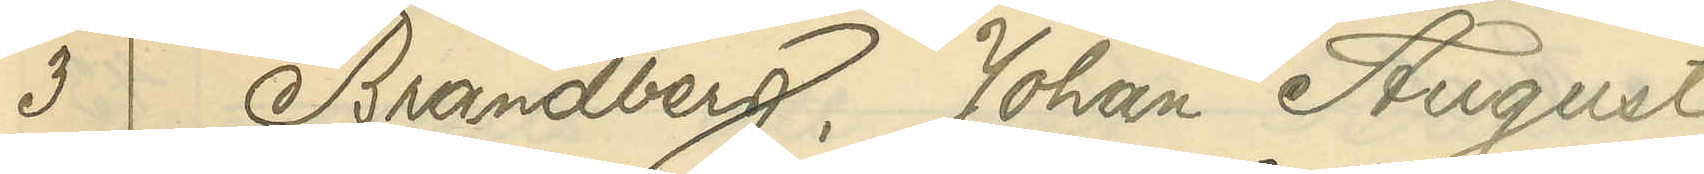3 Brandberg, Johan August
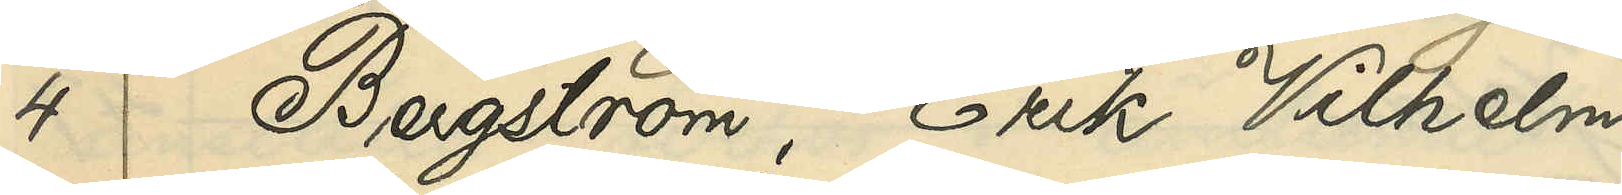4 Bergström, Erik Vilhelm
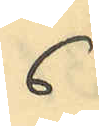6
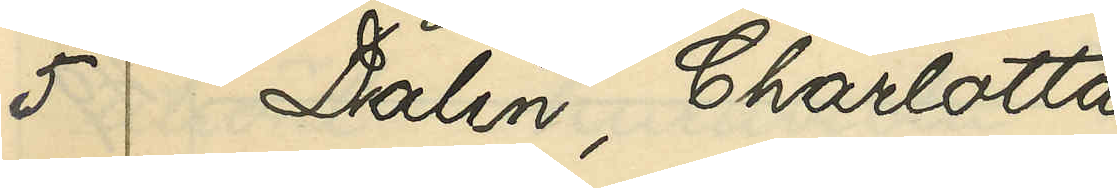5 Dalin, Charlotta
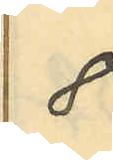8
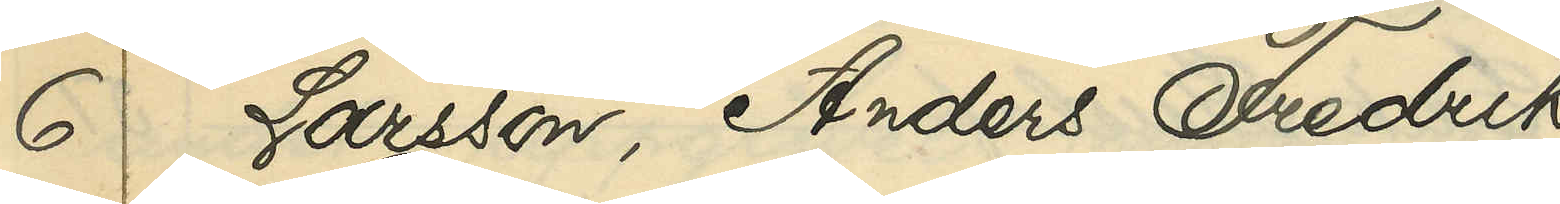6 Larsson, Anders Fredrik
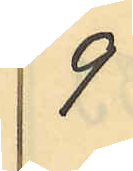9
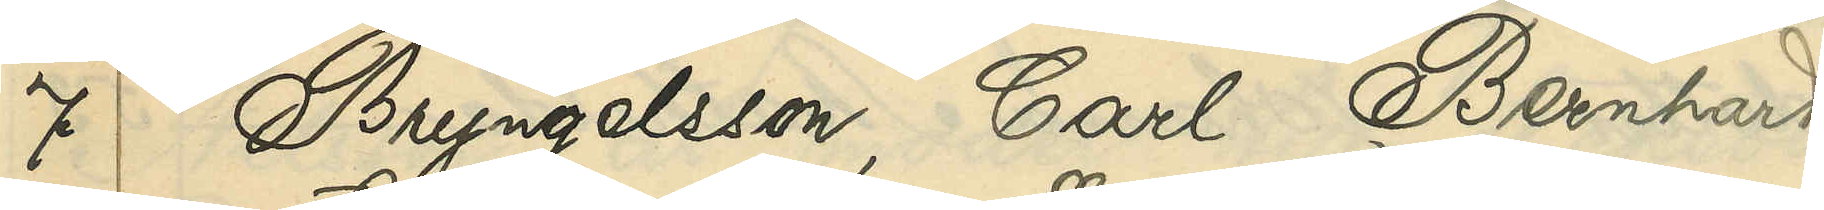7 Bryngelsson, Carl Bernhard
